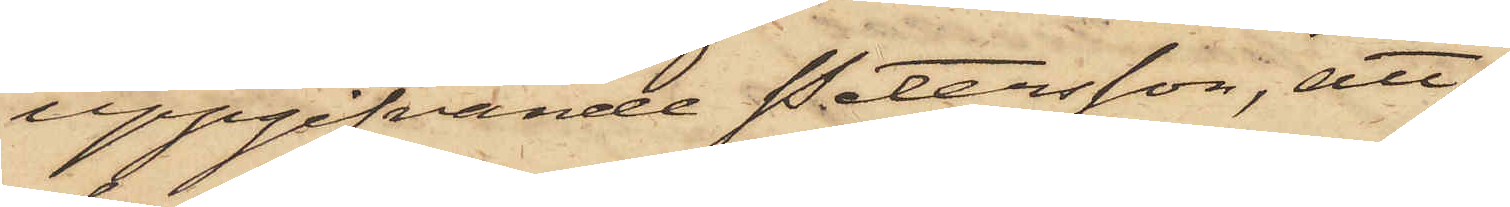uppgifvande Petersson, att,
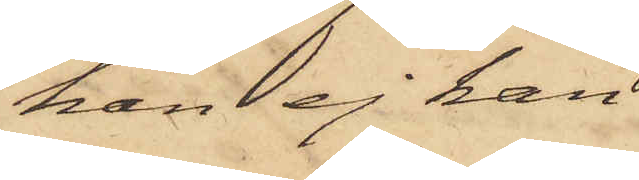han ej kan
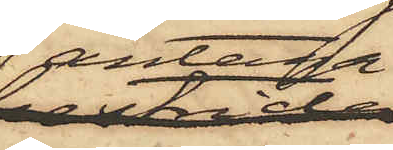antaga
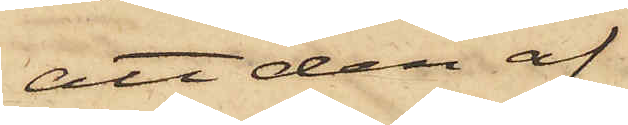att den af
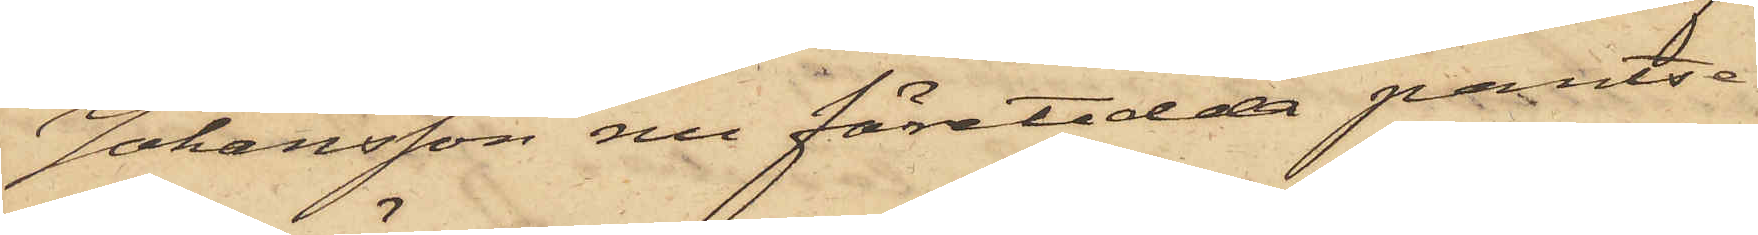Johansson nu företedda pantse¬
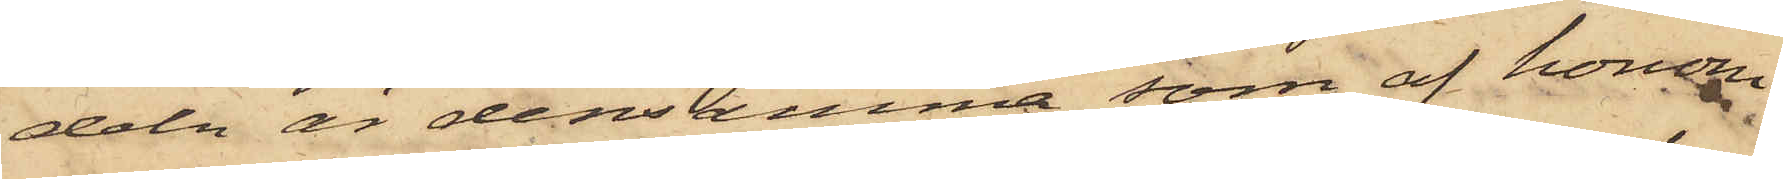deln är densamma, som af honom
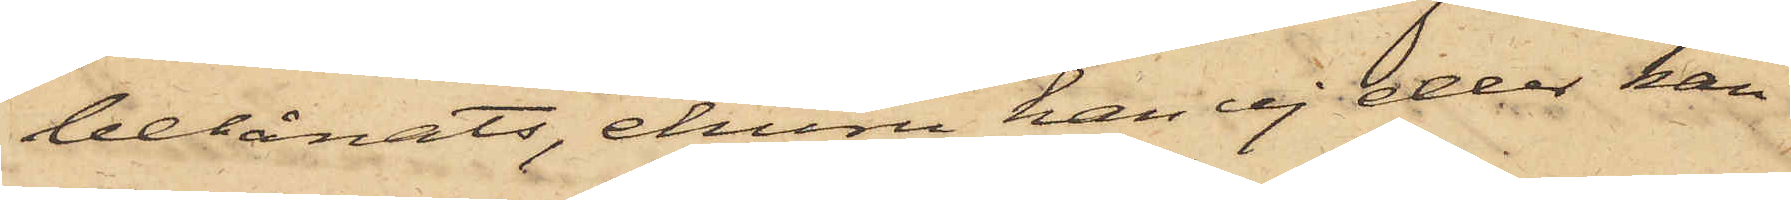belånats, ehuru han ej eller kan
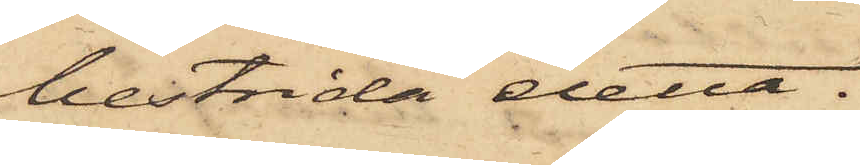bestrida detta.
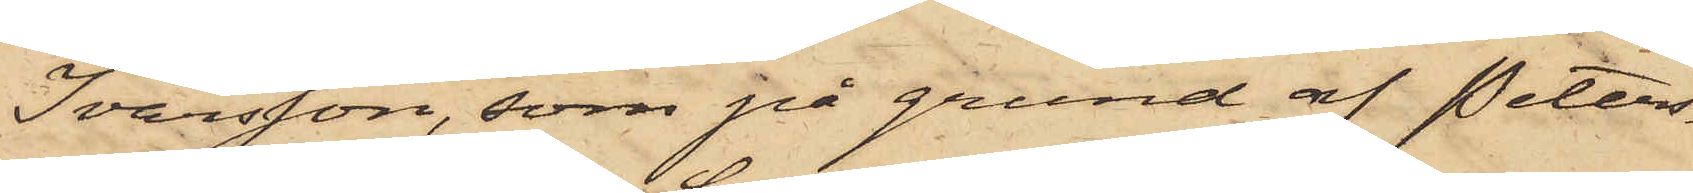Ivarsson, som på grund af Peters¬
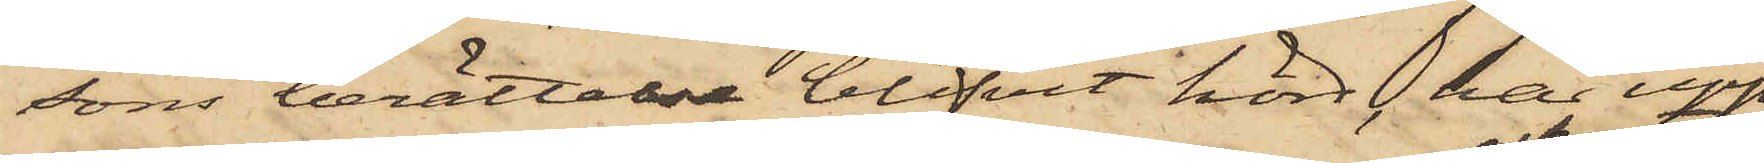sons berättelse blifvit hörd, har upp¬
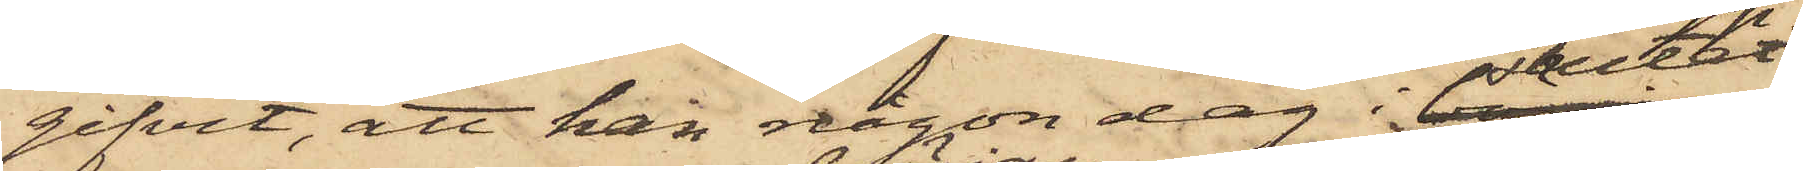gifvit, att han någon dag i slutet
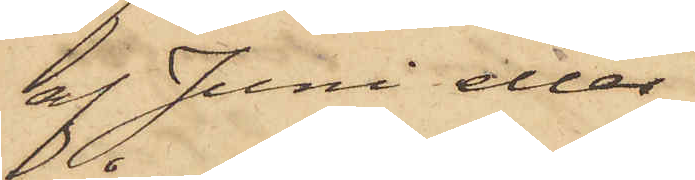af Juni eller
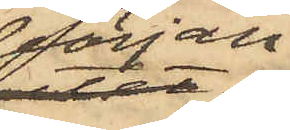början
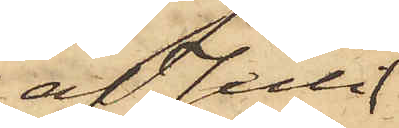af Juli
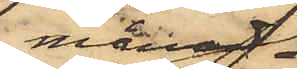månad
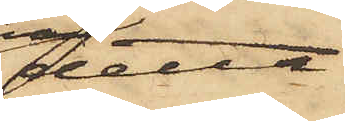detta
